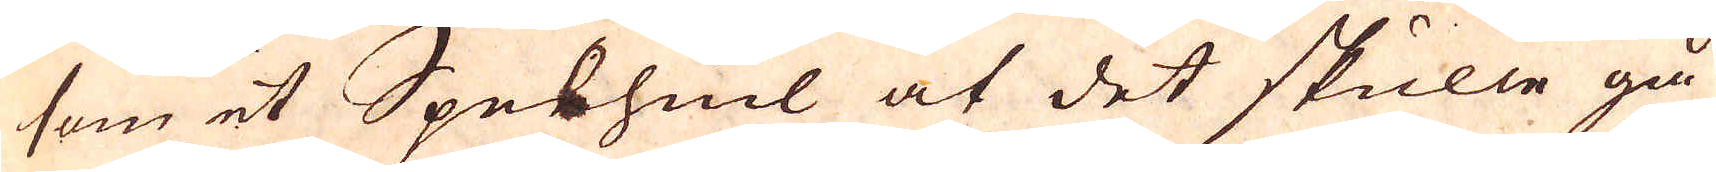som et Spelhiul at det skulle gå
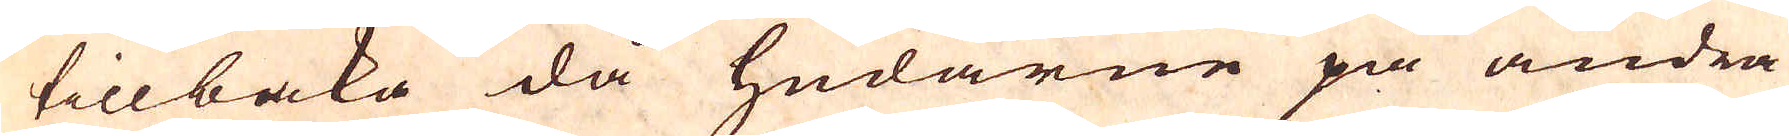tillbaka då hudarne på andra
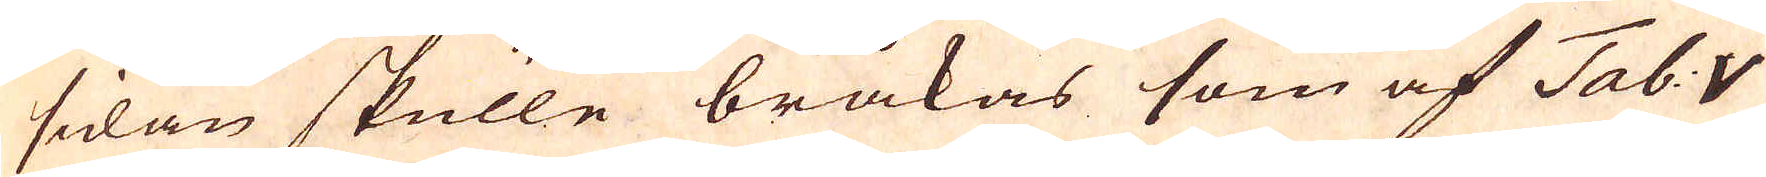sidan skulle bråkas som af Tab: V
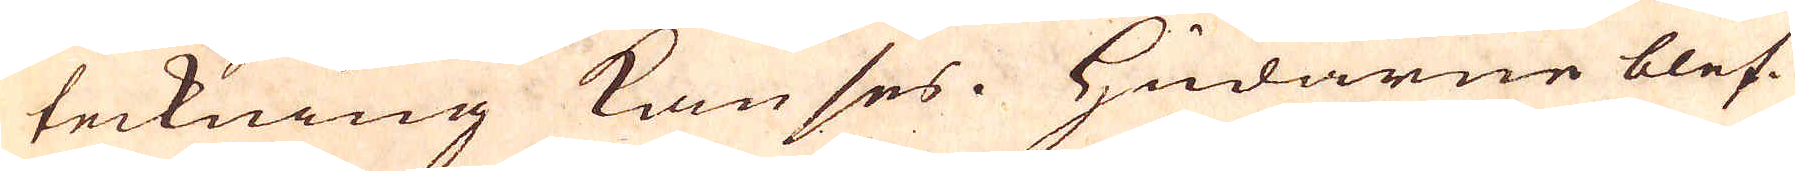teckning kan ses. Hudarne blef-
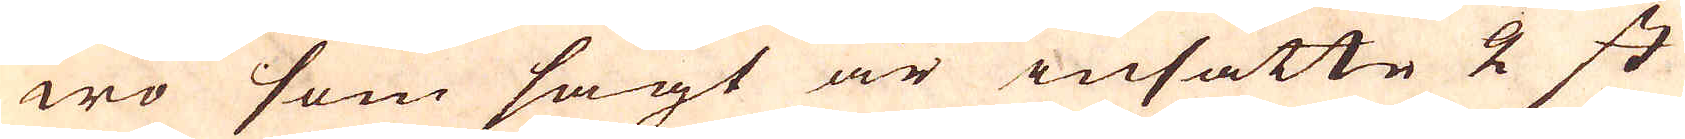wo som sagt är insatte 2 st
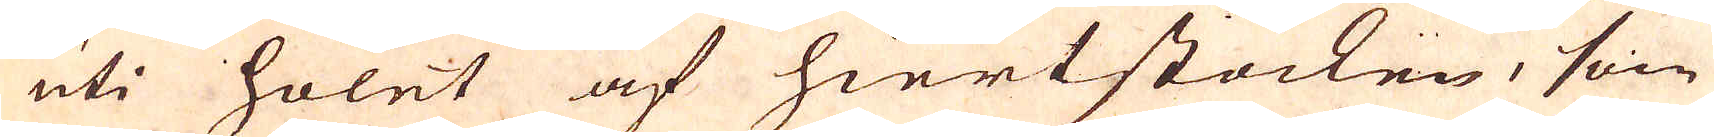uti holet af hiertstocken, som
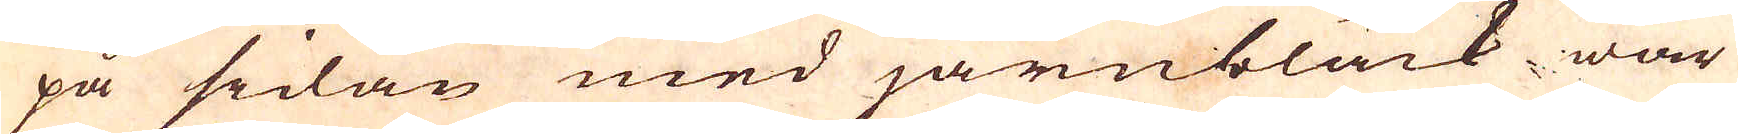på sidan med järnbläck war
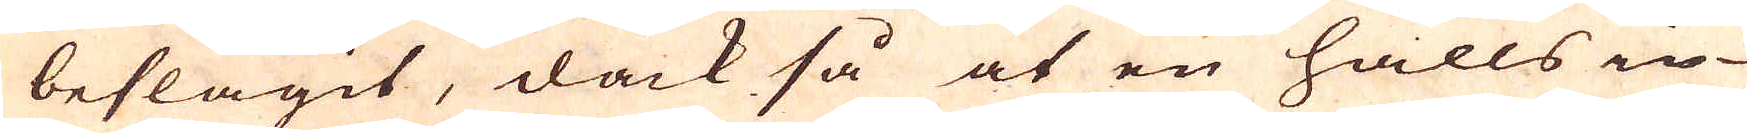beslagit, dock så at en halls in-
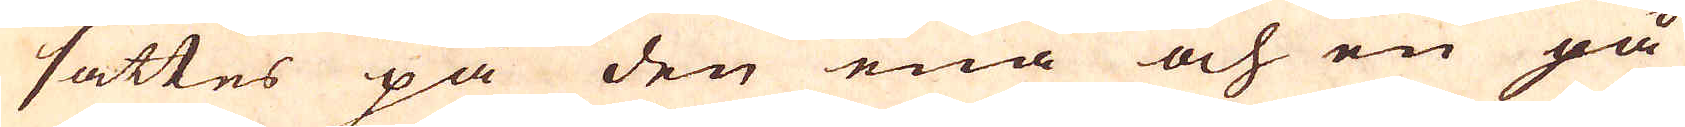sattes på den ena och en på
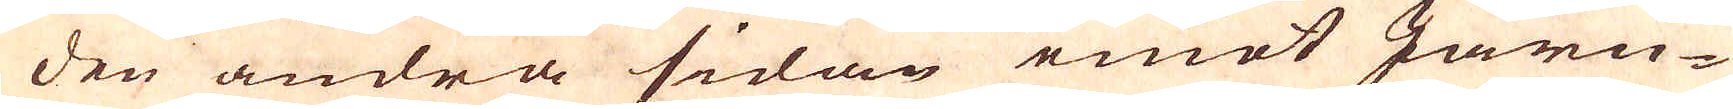den andra sidan emot Järn-
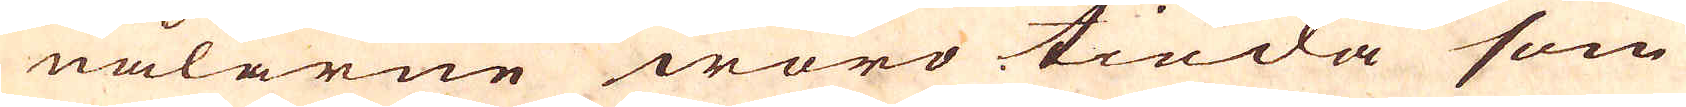nålarne woro tinda som
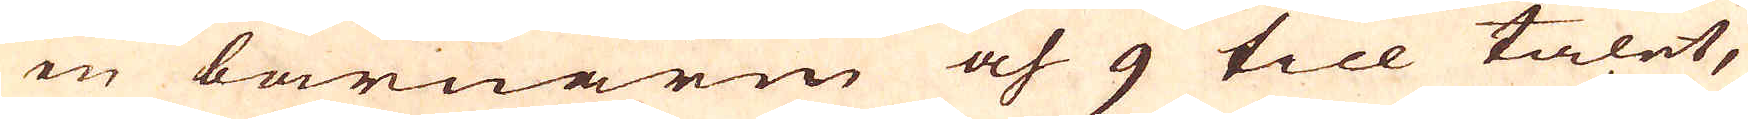en barnarm och 9 till talet,
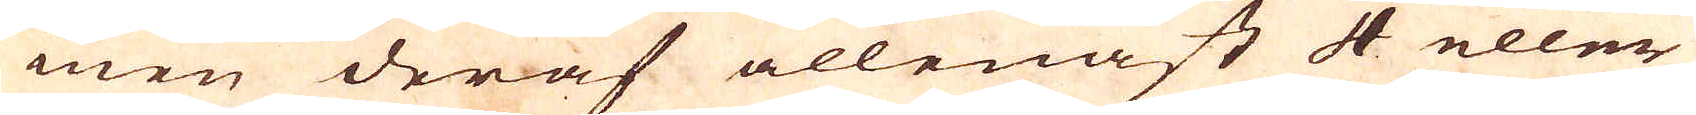men deraf allenast 4 eller
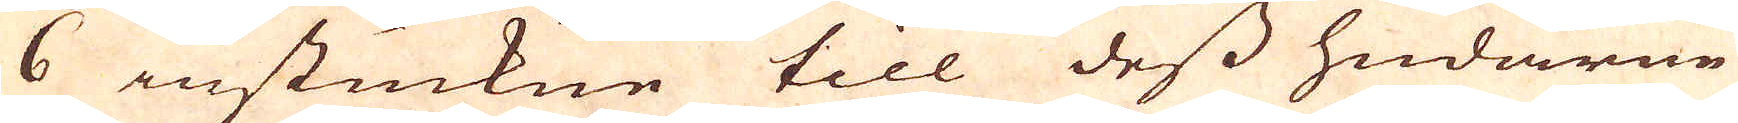6 instuckne till dess hudarne
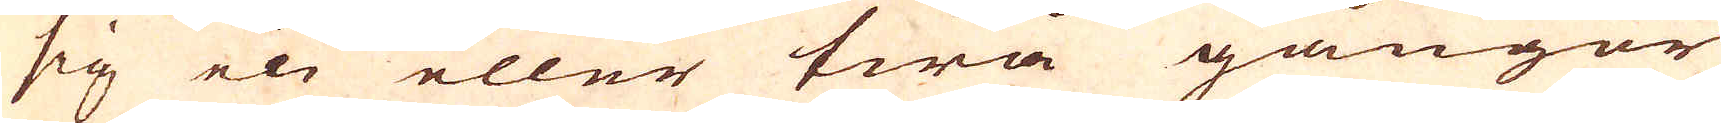sig en eller twå gångor
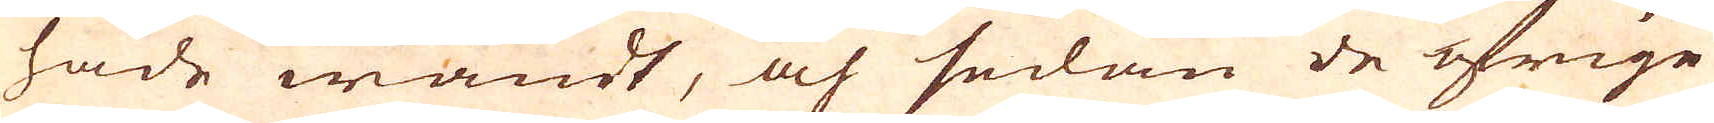hade wändt, och sedan de öfrige
